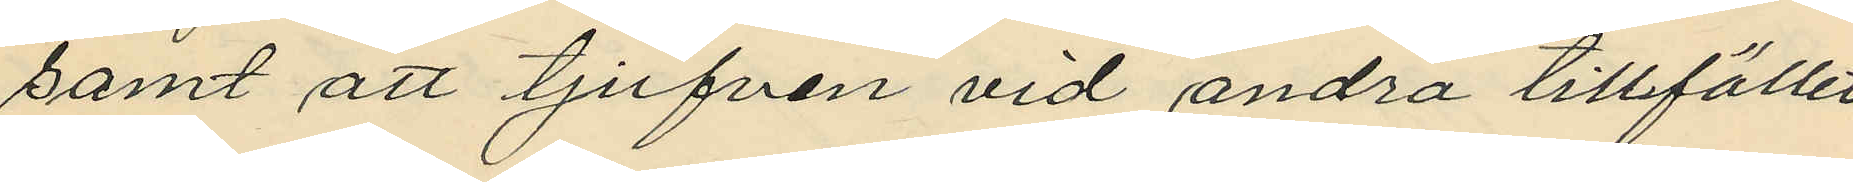samt att tjufven vid andra tillfället
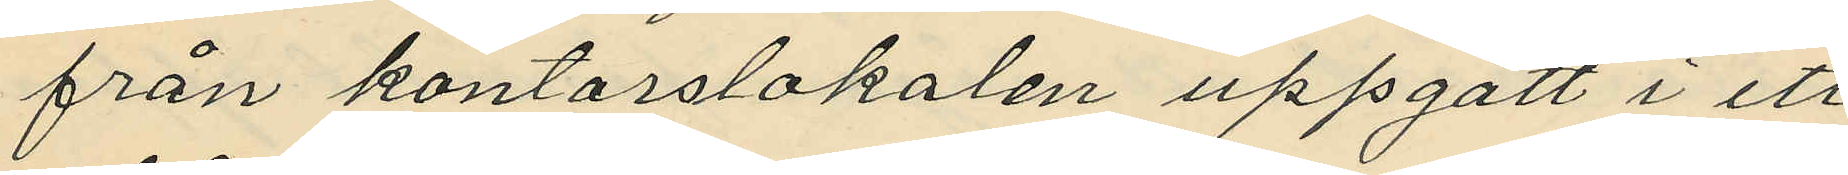från kontorslokalen uppgått i ett
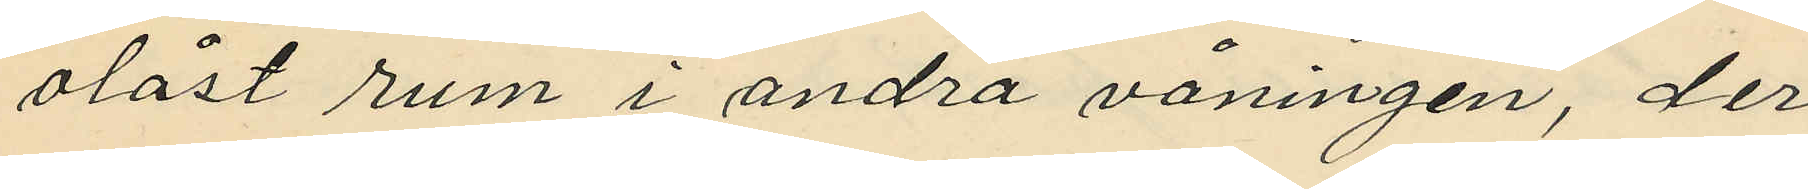olåst rum i andra våningen, der
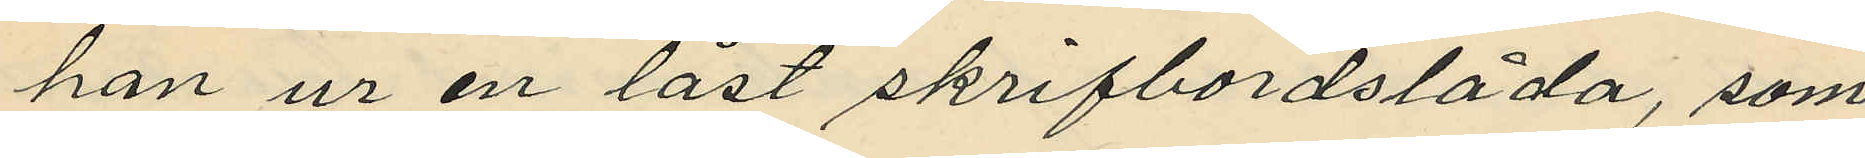han ur en låst skrifbordslåda, som
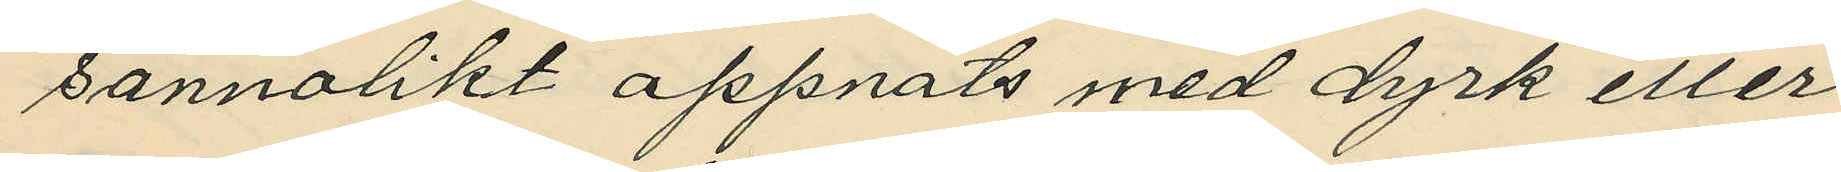sannolikt oppnats med dyrk eller
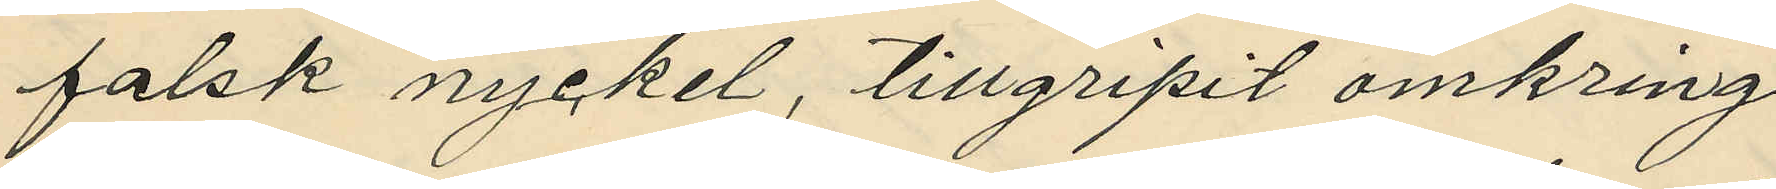falsk nyckel, tillgripit omkring
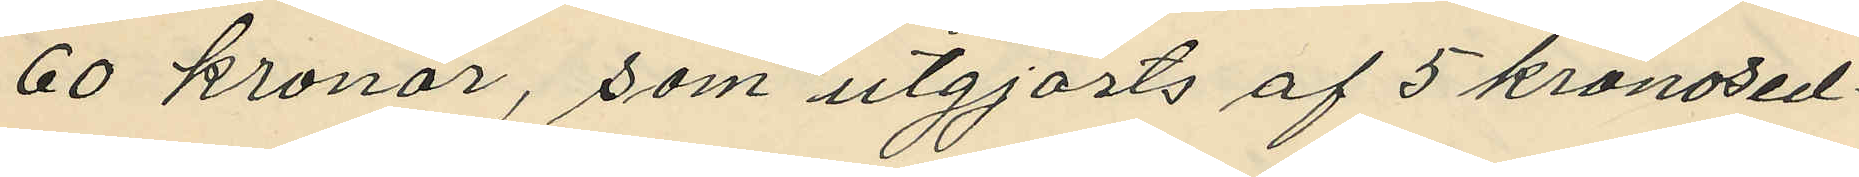60 kronor, som utgjorts af 5 kronosed¬
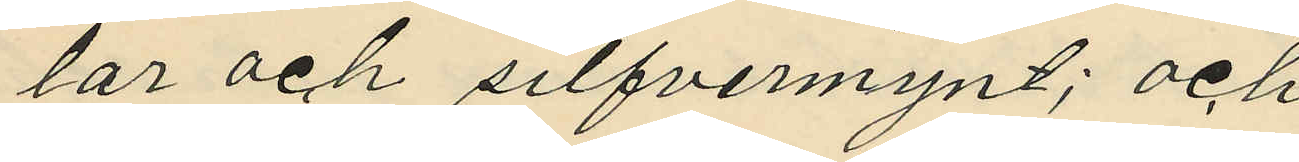lar och silfvermynt; och
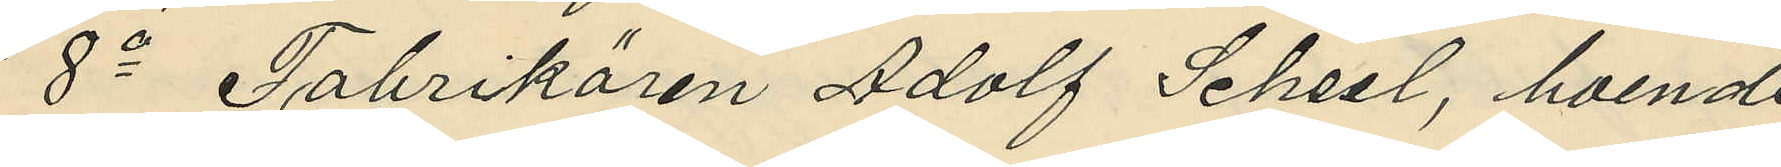8o Fabrikören Adolf Scheel, boende
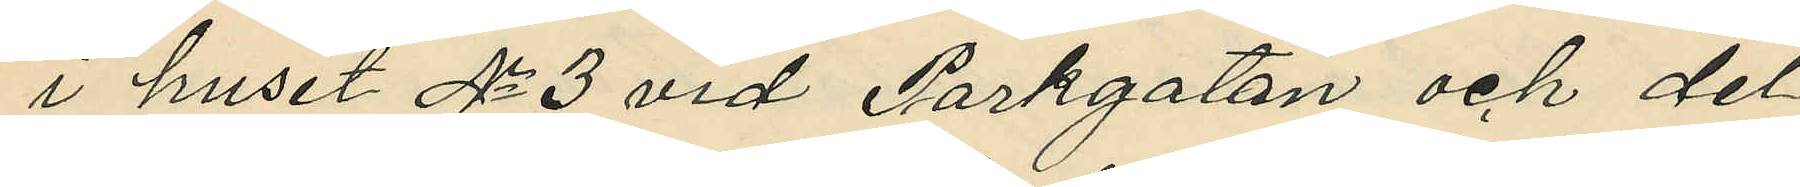i huset No 3 vid Parkgatan och del¬
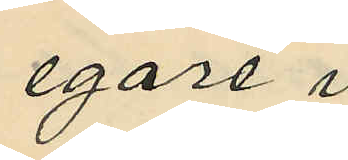egare i 
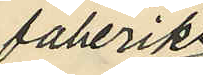faberiks¬
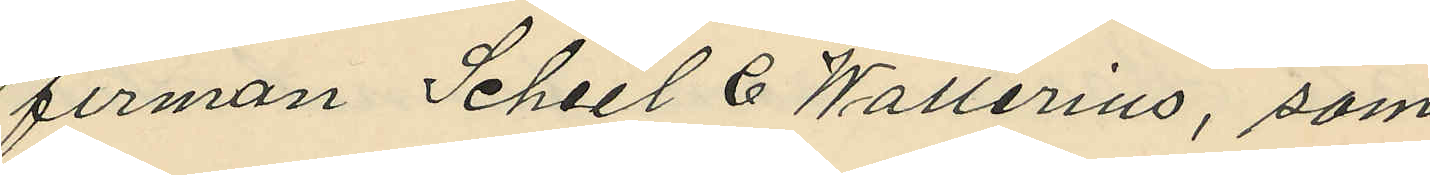firman Scheel & Wallerius, som
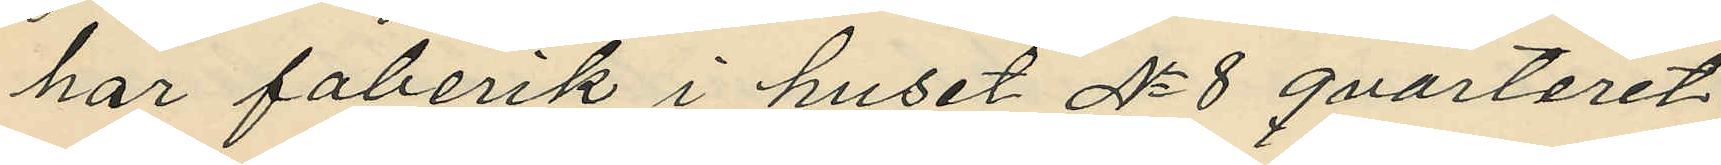har faberik i huset No 8 qvarteret
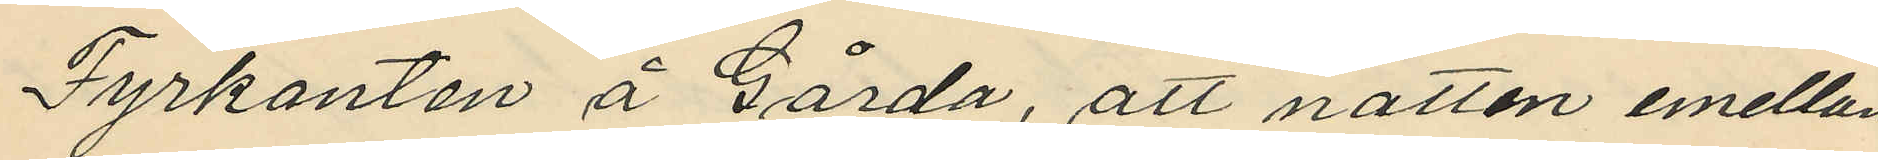Fyrkanten å gårda, att natten emellan
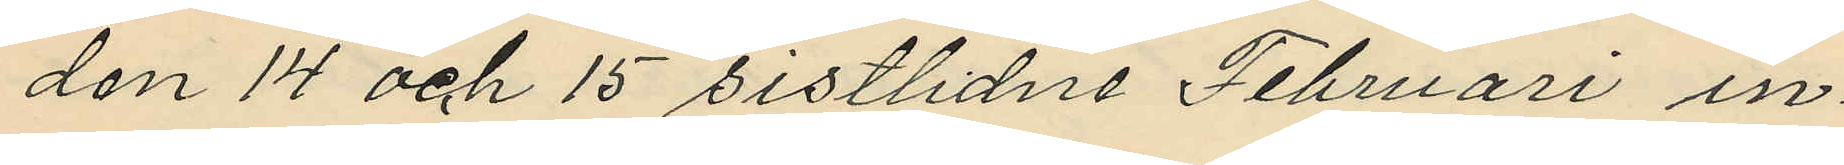den 14 och 15 sistlidne Februari in¬
